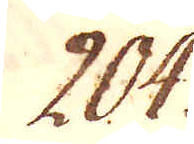204.
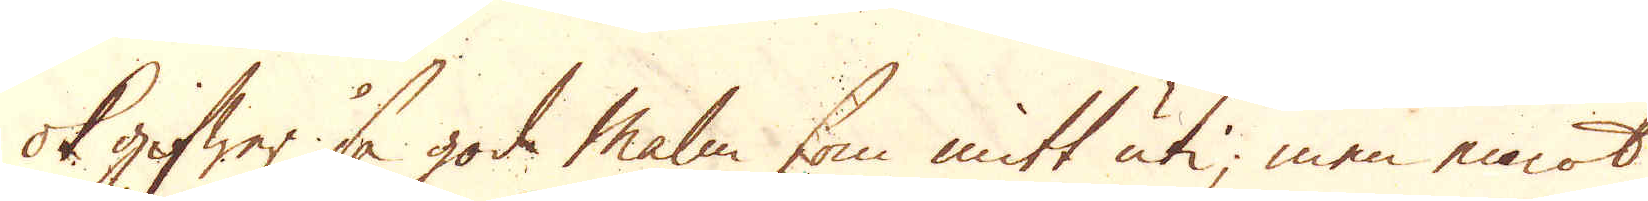ok gifwer så god malm som mitt uti, men emot
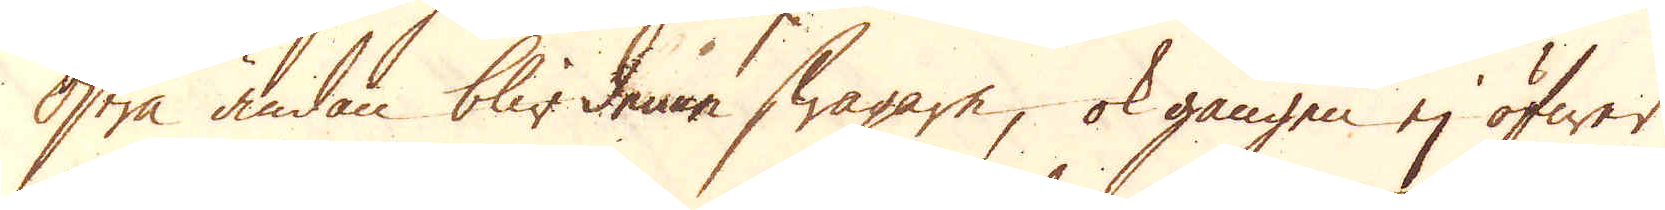Östra ändan blir denne swagare, ok gången ej öfwer
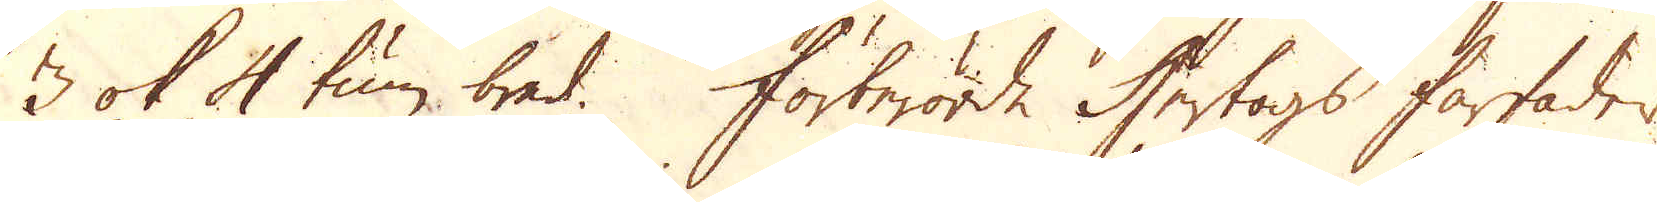3 ok 4 tum bred. Förberörde Hertogs färfader
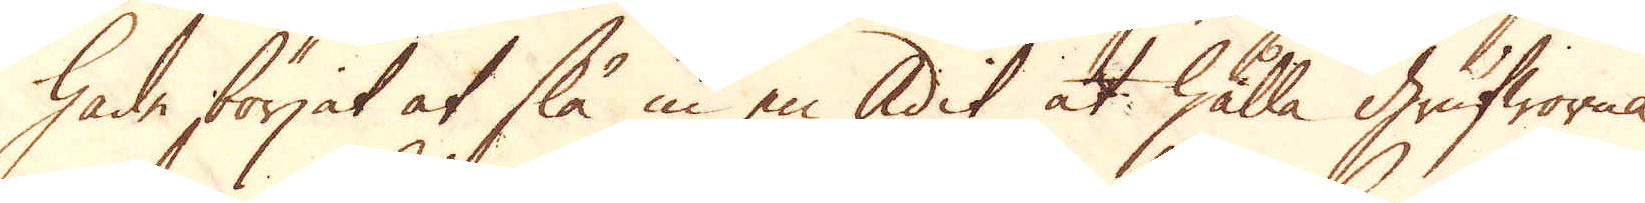hade förjat slå in en Adit at hålla grufworna
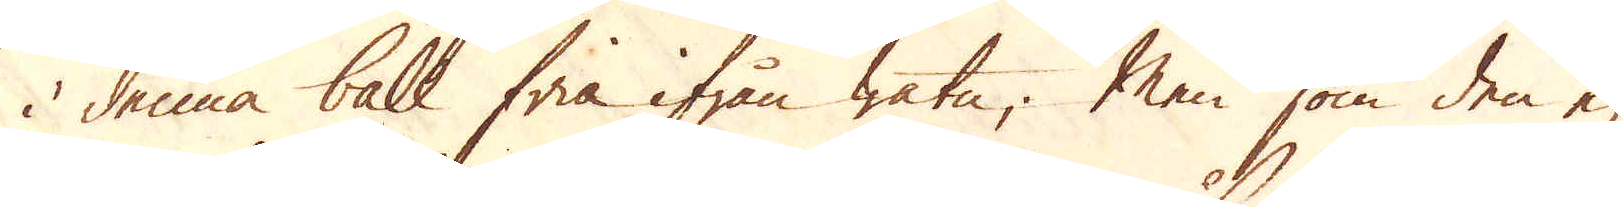i denna ball fria ifrån watn; Men som den ej
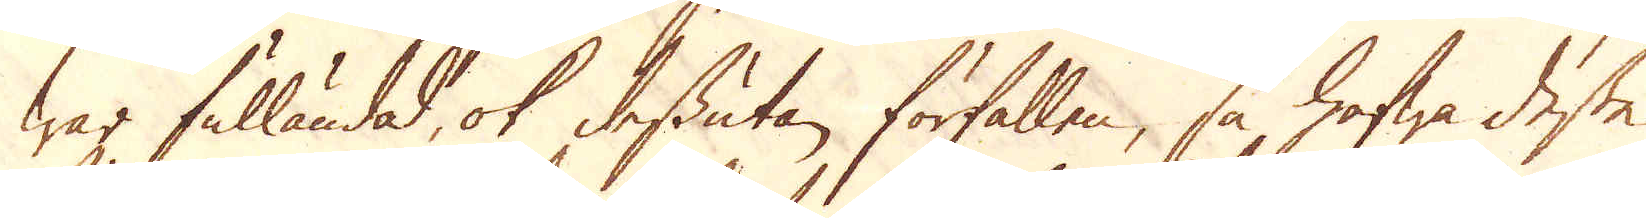war fulländad, ok dessutan förfallen, så hafwa desse
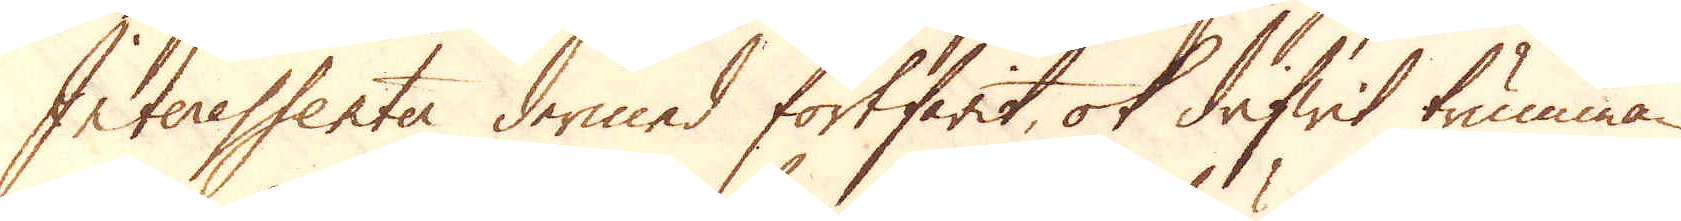Interessenter dermed fortfarit, ok drifwit trumman
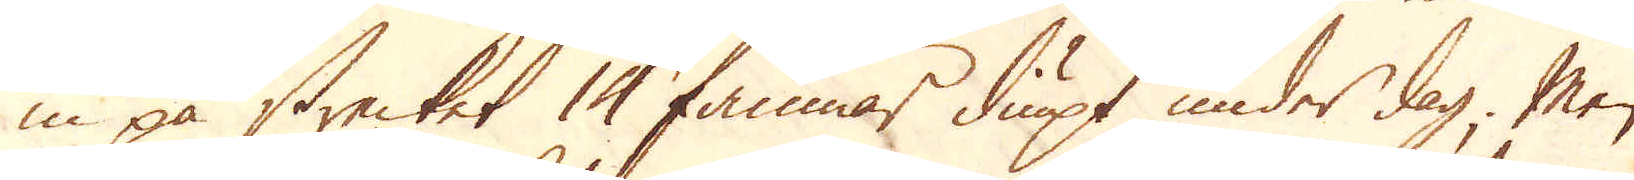in på strecket 14 famnar diupt under dag. Men
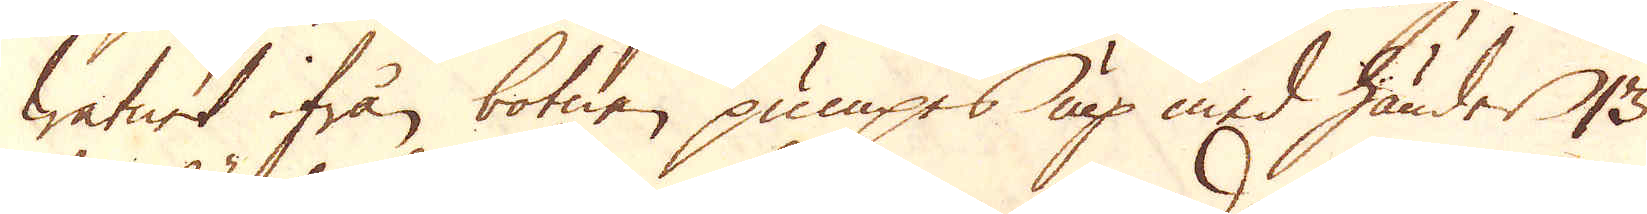watnet ifrån botnen pumpes up med händer 13
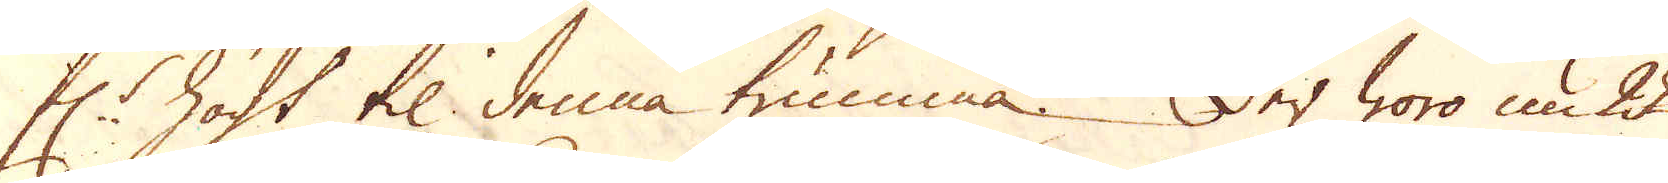f:r högt til denna trumma. Der woro nu 22
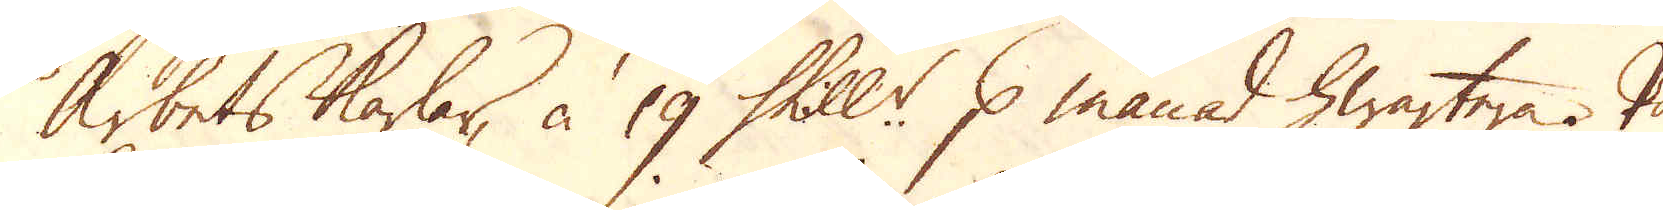Arbetskarlar, à 19 Skill:r p månad hwartera. På
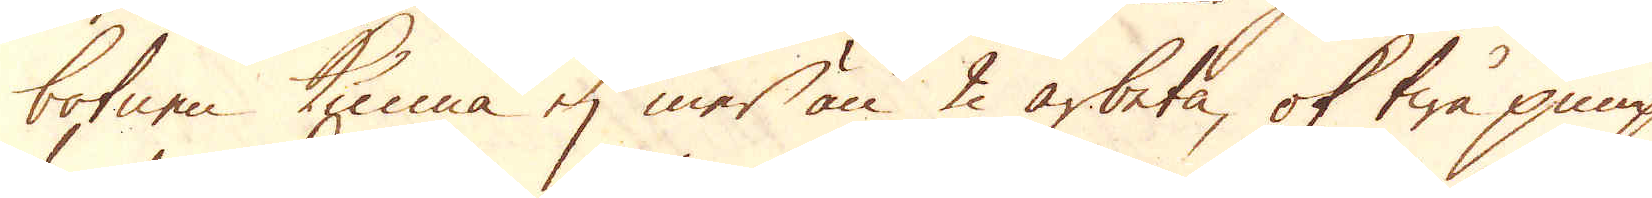botnen kunna ej mer än 2 arbeta, ok twå pumpar
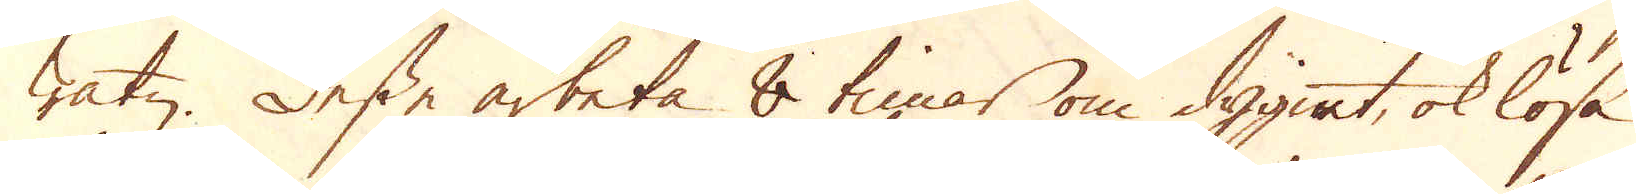watn. Desse arbeta 8 timar om dygnet, ok lösa
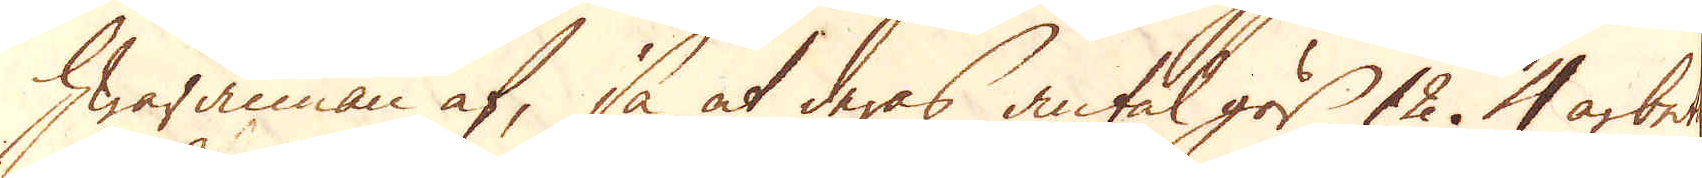hwarannan af, så at deras antal gör 12. 4 arbete
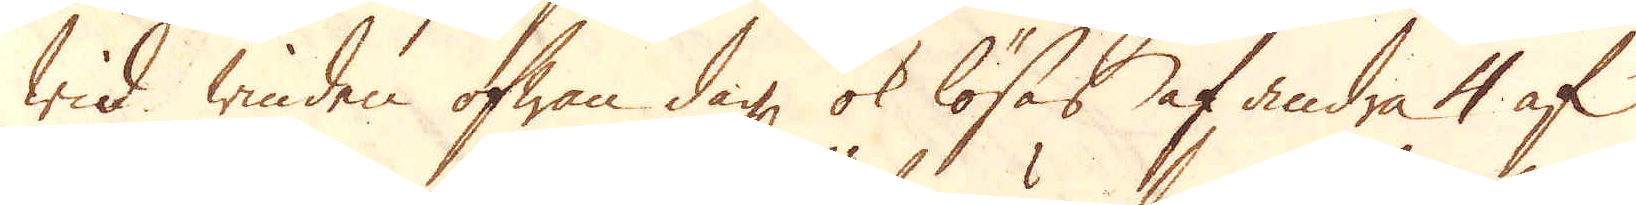wid winden ofwan dag ok lösas af andra 4 af
